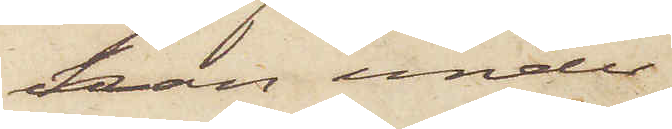han under
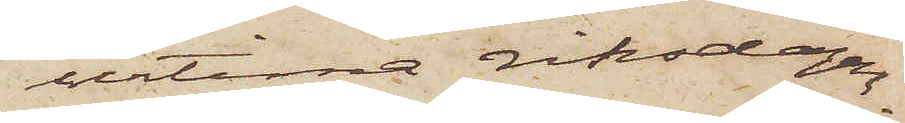urtima riksdagen
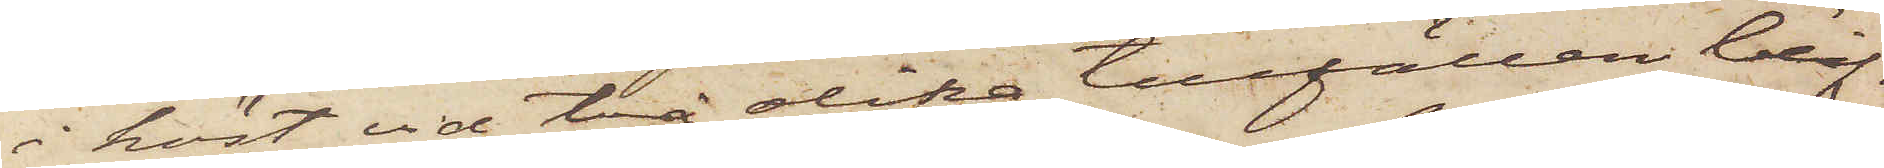i höst vid två olika tillfällen blif¬
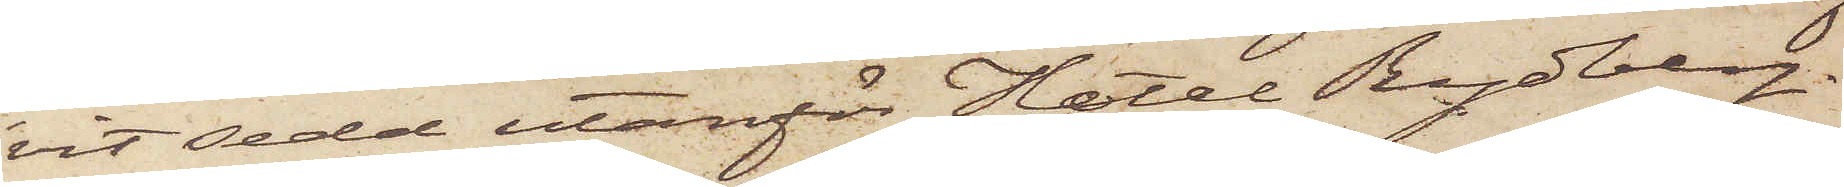vit sedd utanför Hotel Rydberg.
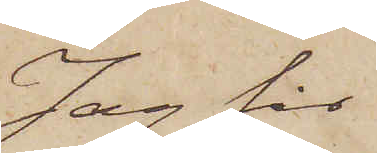Jag får
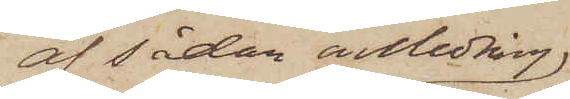af sådan anledning
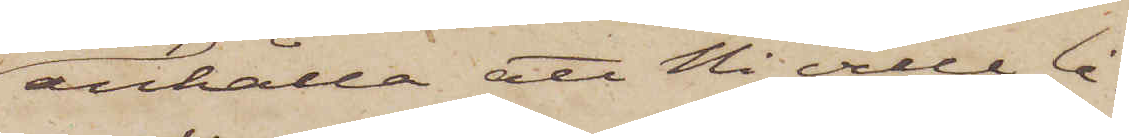anhålla att Ni ville lå¬
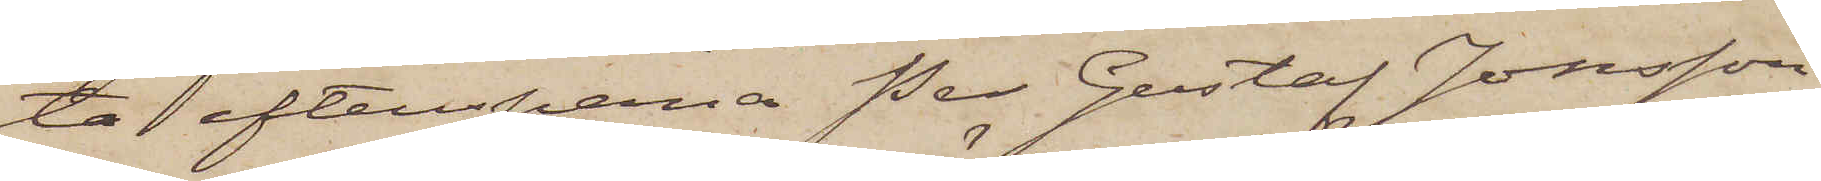ta efterspana Per Gustaf Jonsson
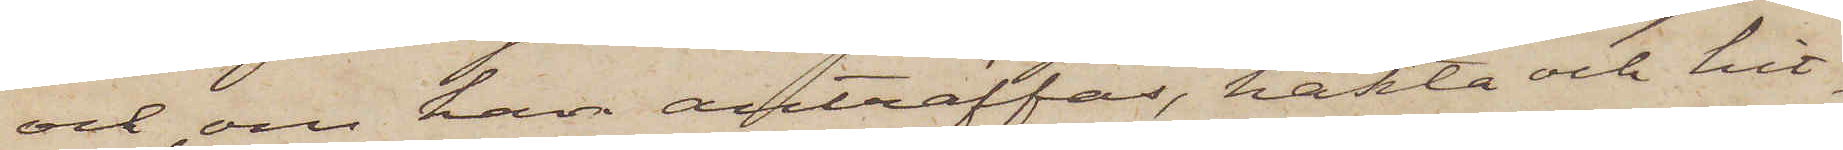och, om han anträffas, häkta och hit¬
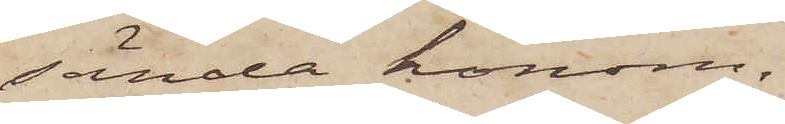sända honom.
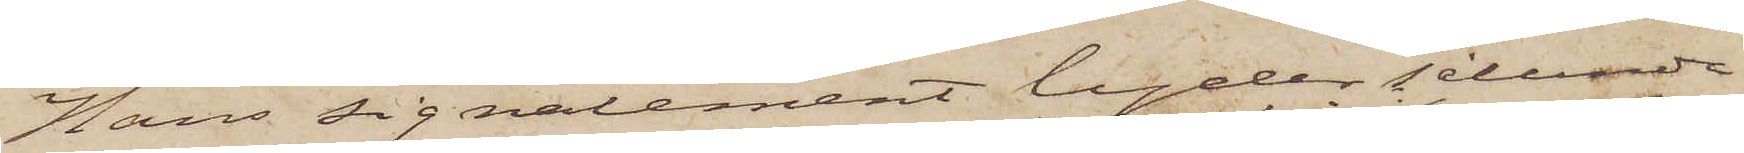Hans signalement lyder sålunda
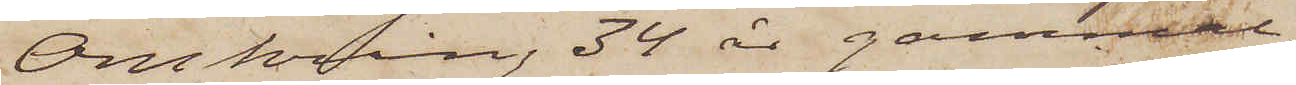Omkring 34 år gammal;
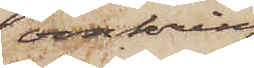omkring
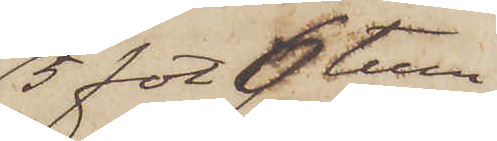5 för 6 tum
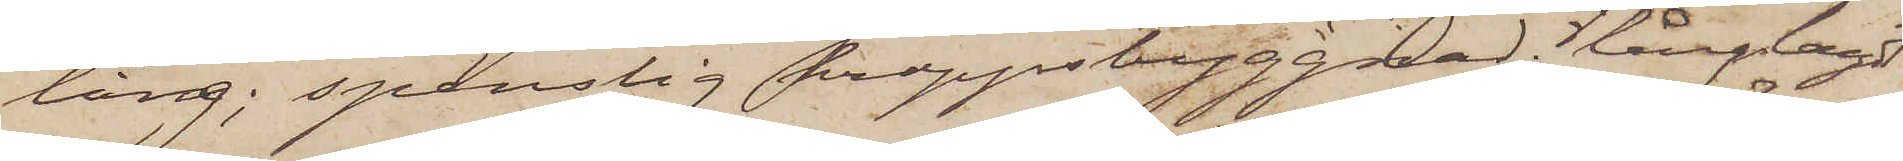lång; spenslig kroppsbyggnad, långlagt
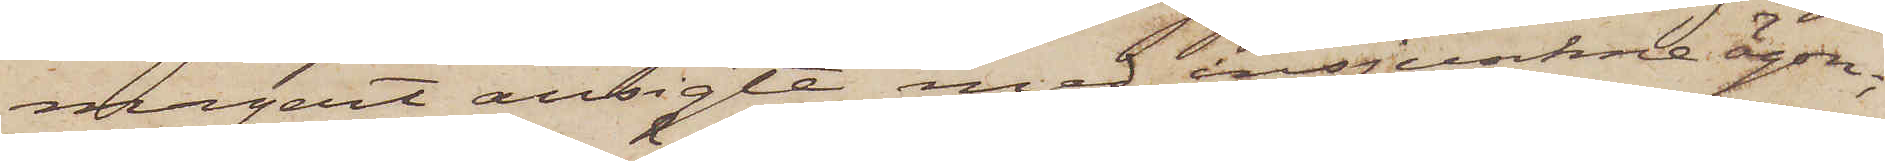magert ansigte med insjunkne ögon;
